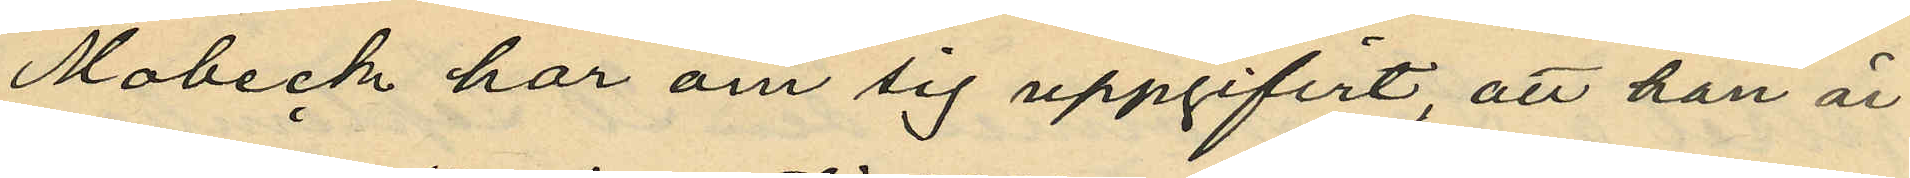Mobeck har om sig uppgifvit, att han är
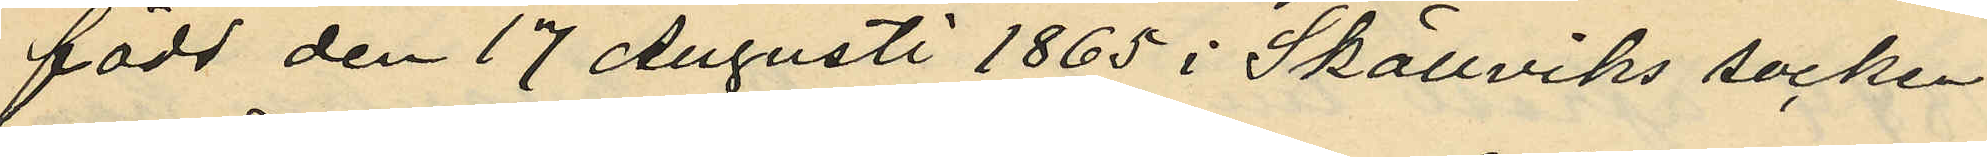född den 17 Augusti 1865 i Skällviks socken
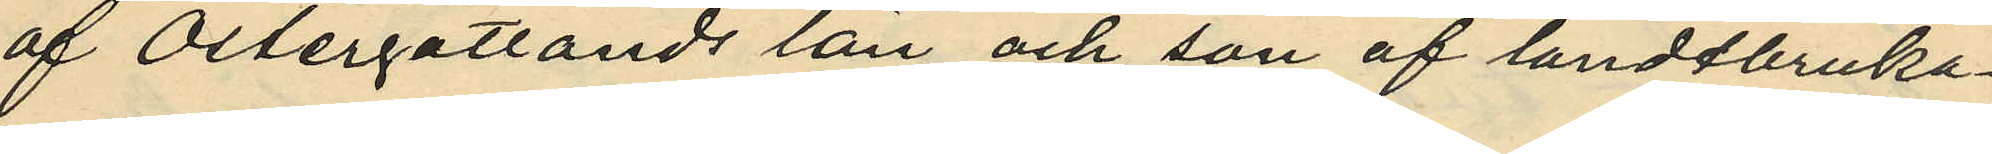af Östergötlands län och son af landtbruka¬
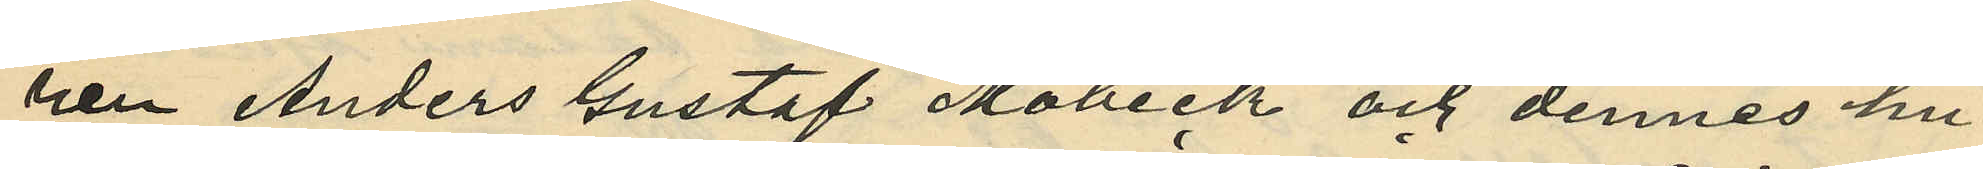nen Anders Gustaf Mobeck och dennes hu¬
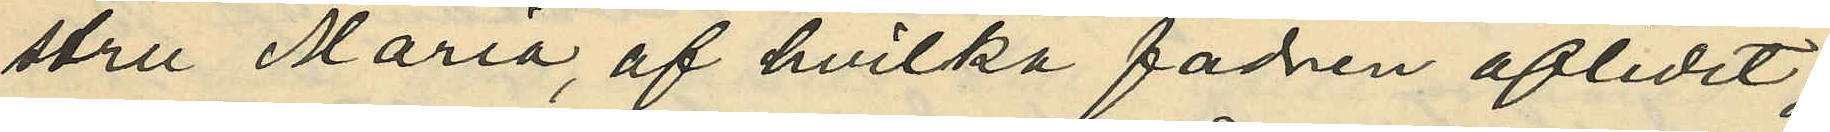stru Maria, af hvilka fadren aflidit;
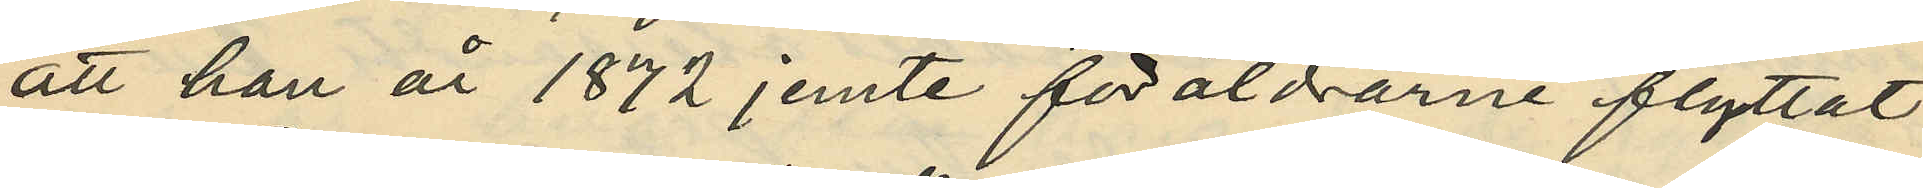att han år 1872 jemte föräldrarne flyttat
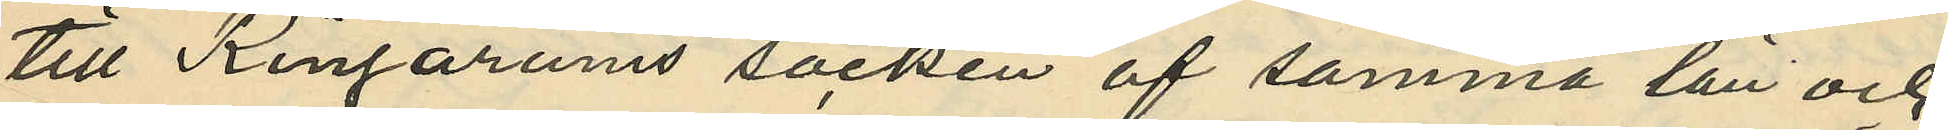till Ringarums socken af samma län och
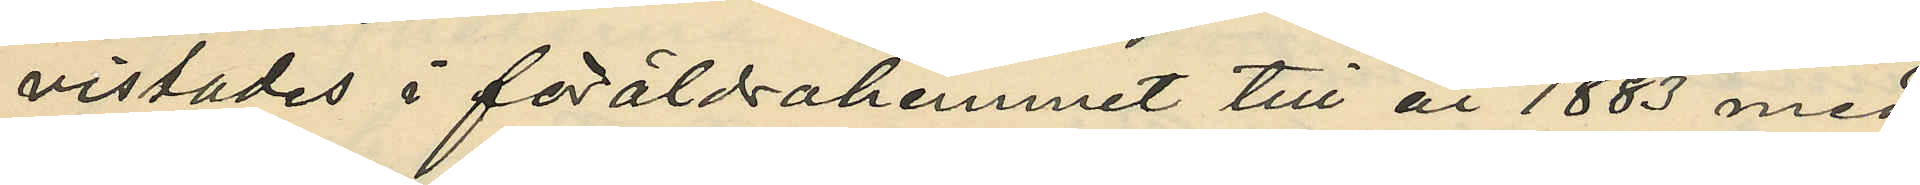vistades i föräldrahemmet till år 1883 med
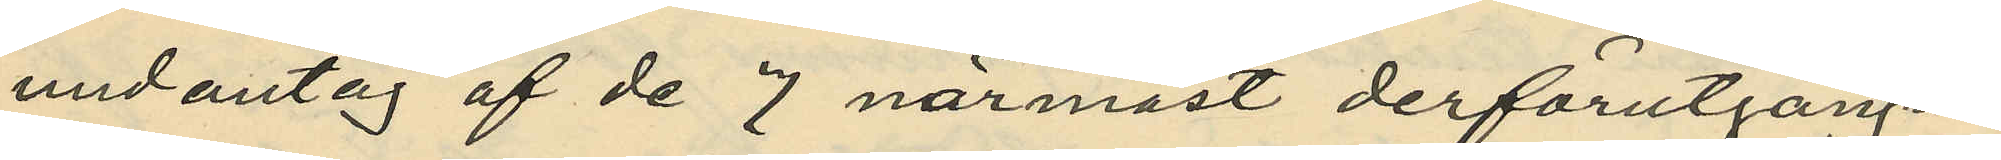undantag af de 7 närmast derförutgångna
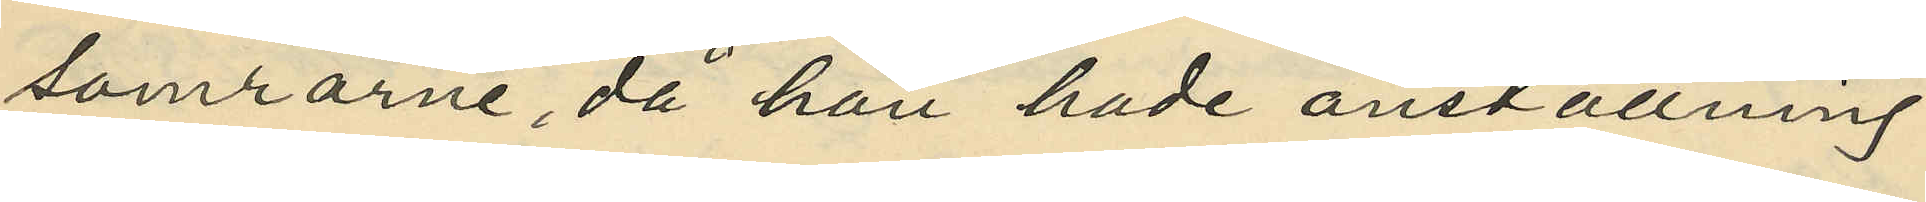somrarne, då han hade anställning
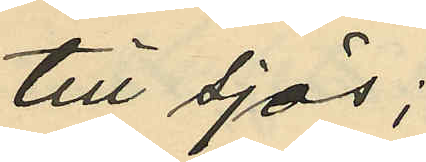till sjös;
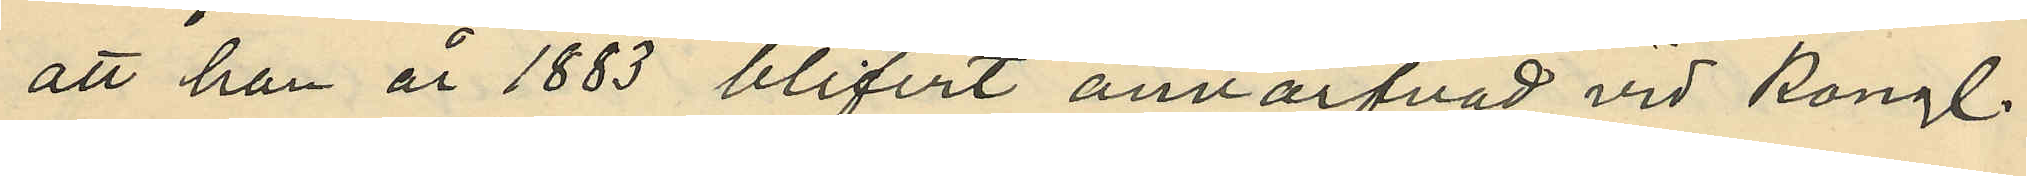att han år 1883 blifvit anvärfvad vid Kongl.
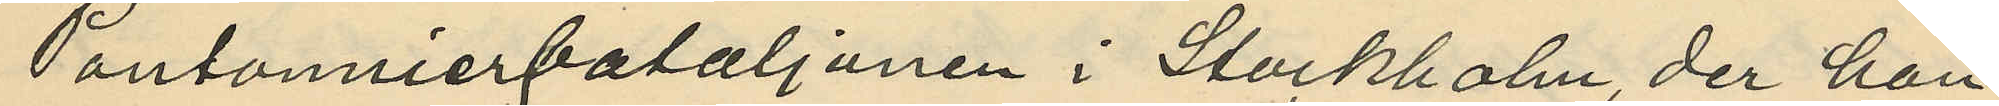Pontonnierbataljonen i Stockholm, der han
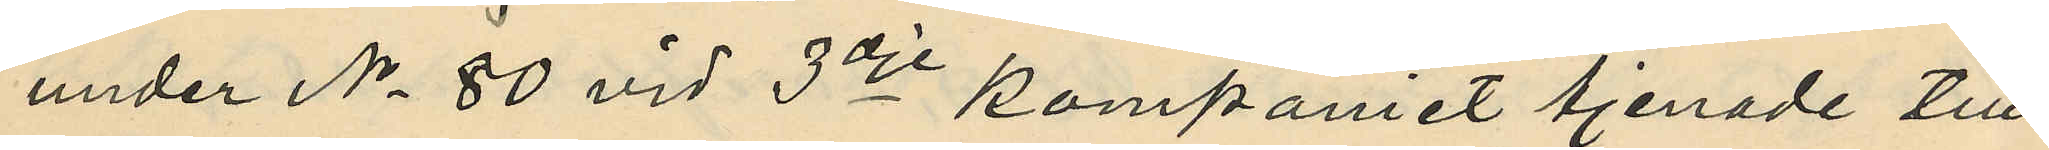under No 80 vid 3dje kompaniet tjenade till
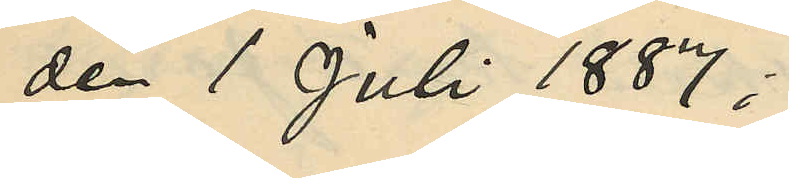den 1 Juli 1887;
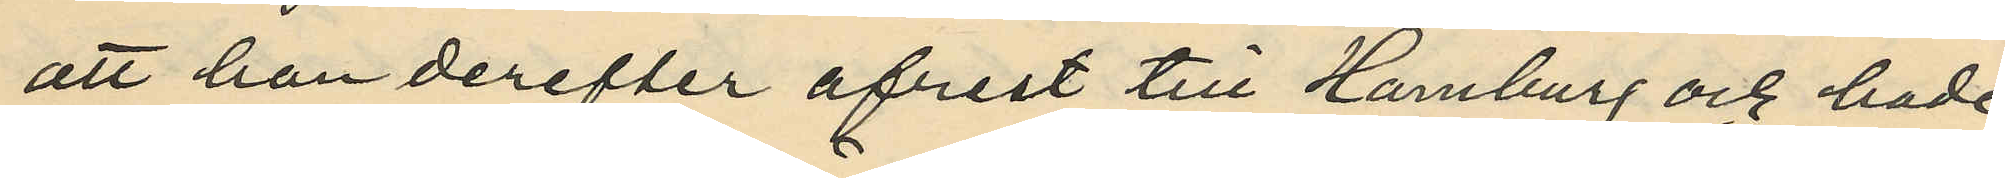att han derefter afrest till Hamburg och hade
